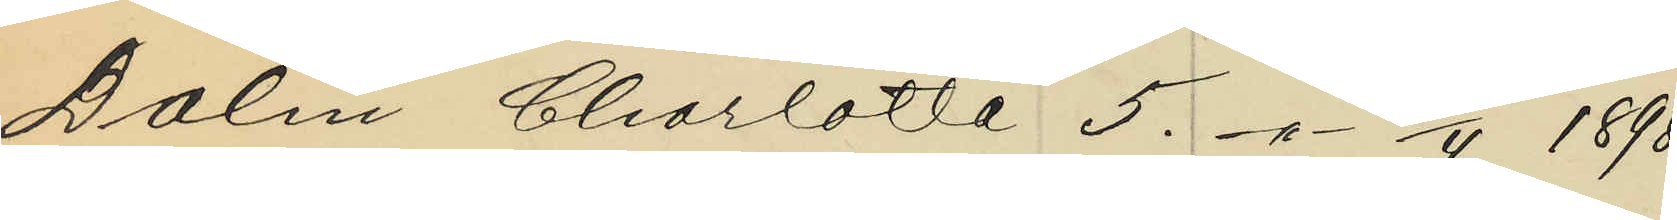Dalin Charlotta 5. -"- 2/4 1898;
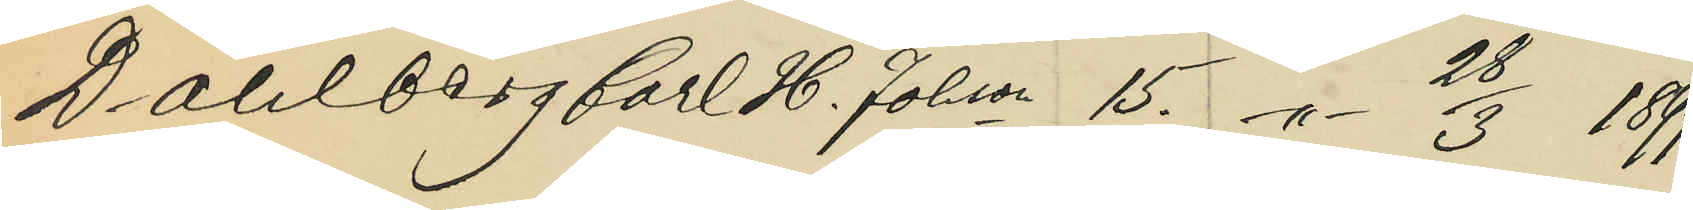Dahlberg Carl H. Johson 15. -"- 28/3 1899;
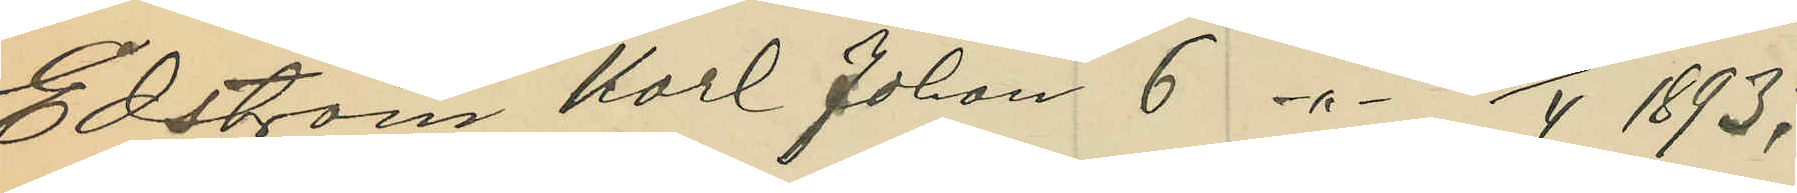Edström Karl Johan 6 -"- 1893;
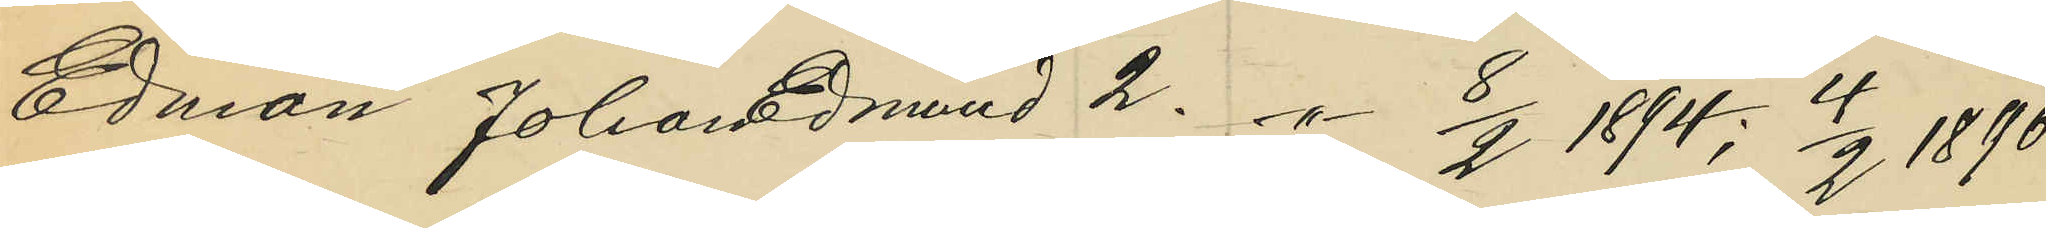Edman Johan Edmund 2. -"- 8/2 1894; 4/2 1896
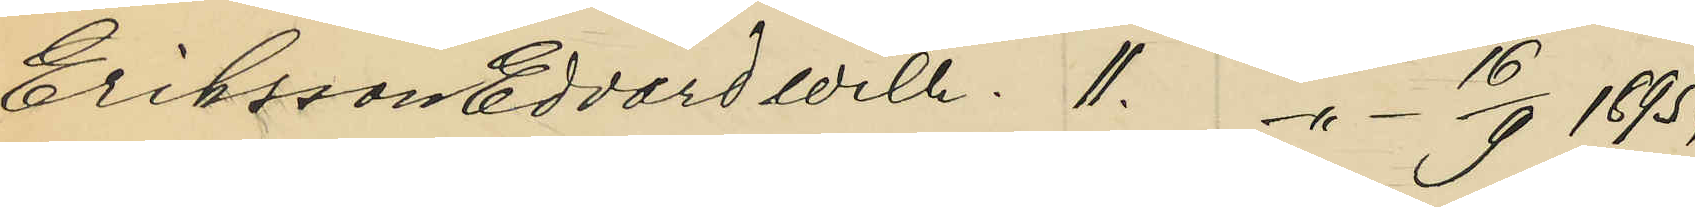Eriksson Edvard Wilh. 11. -"- 1895;
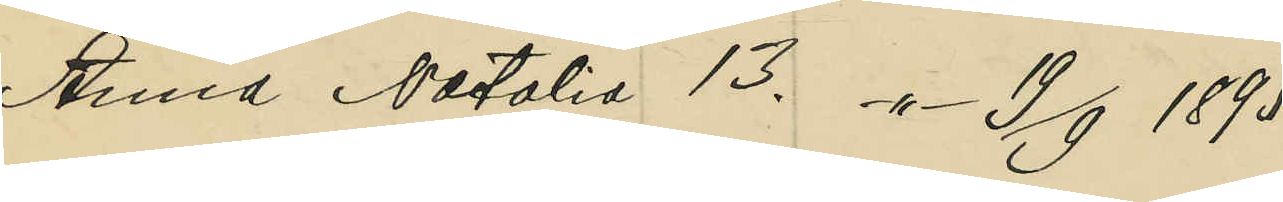Anna Natalia 13. -"- 19/9 1895;
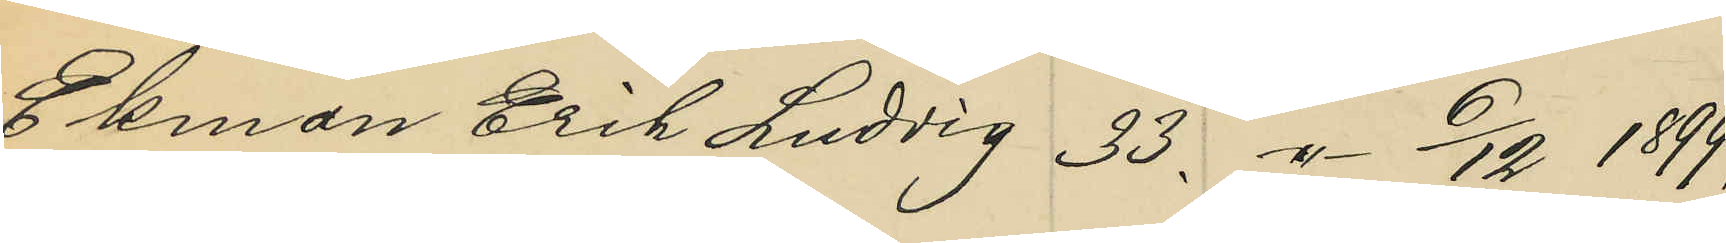Ekman Erik Ludvig 33. -"- 6/12 1899;
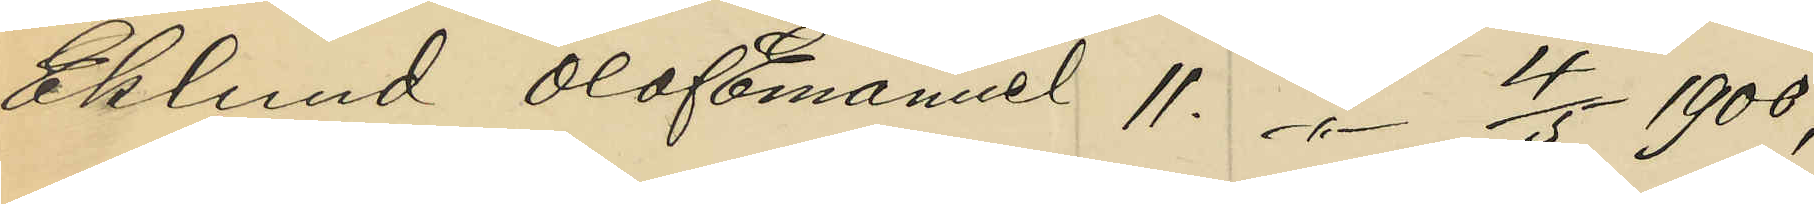Eklund Olof Emanuel 11. -"- 4/5 1900;
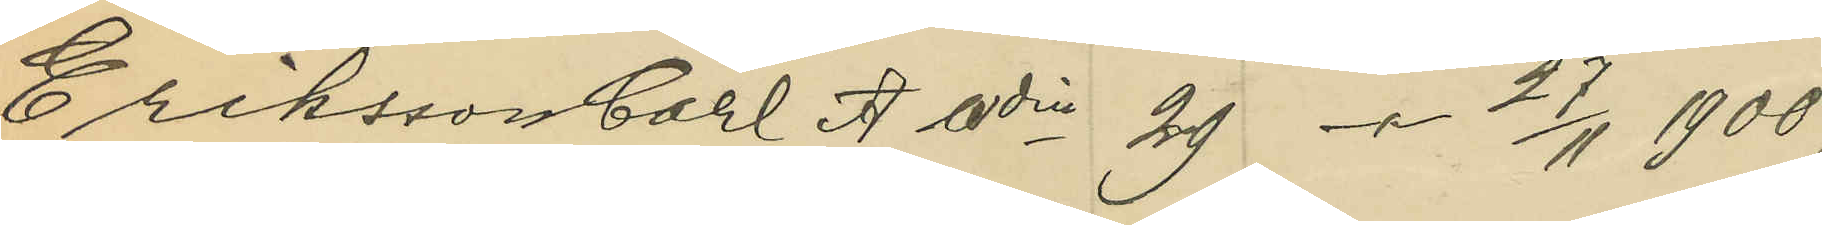Eriksson Carl Wdin 29 -"- 27/11 1900;
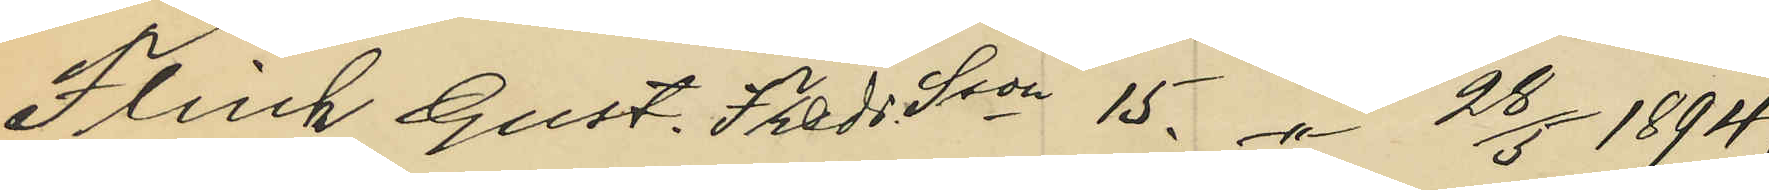Flink Gust. fredr. Sson 15. -"- 28/5 1894;
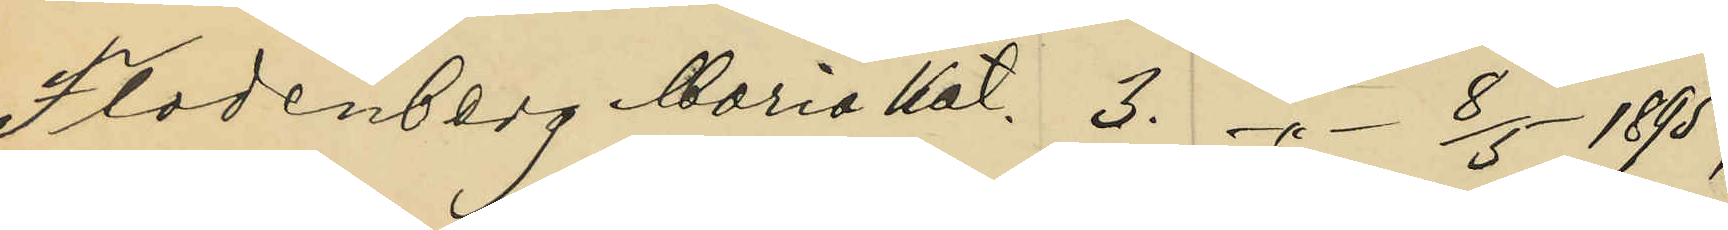Flodenberg Maria Kat. 3. -"- 8/5 1895;
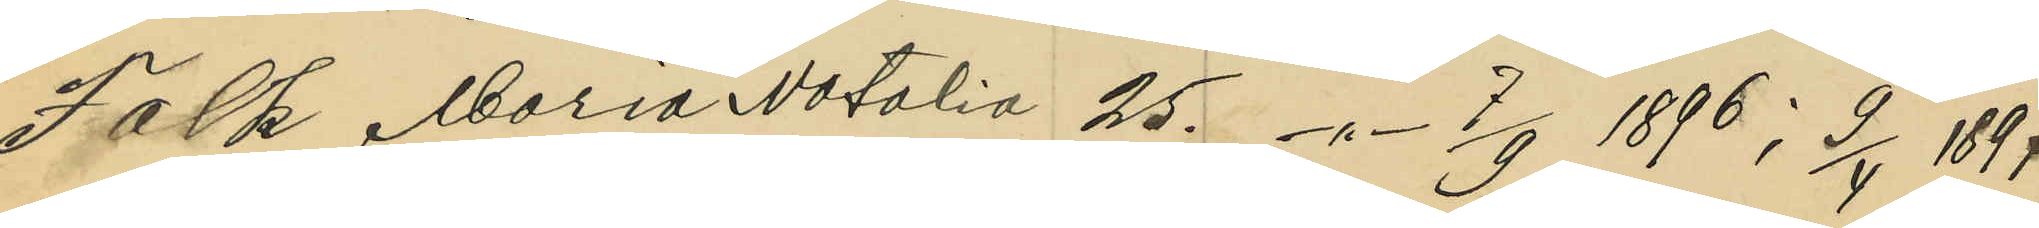Falk Maria Natalia 25. -"- 7/9 1896; 9/4 1897;
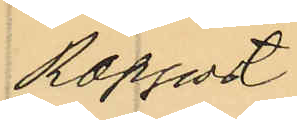Rapport
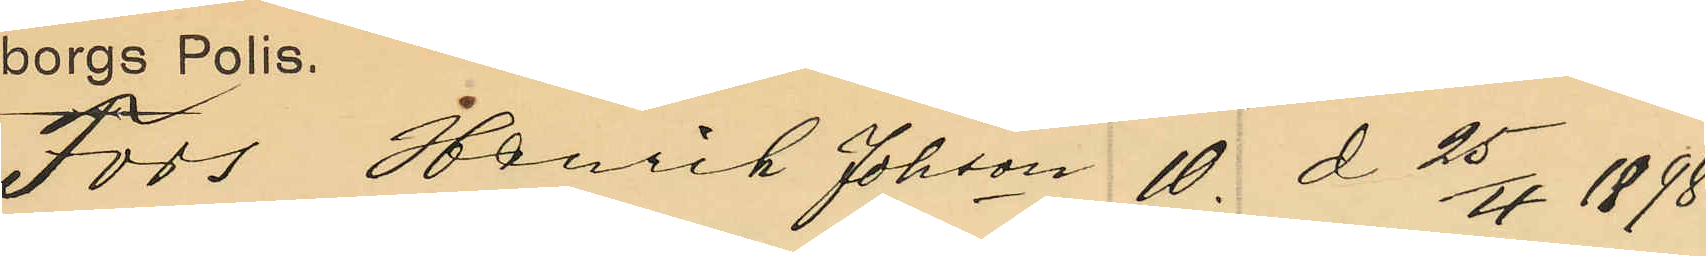Fors Henrik Johson 10. d 25/4 1898;
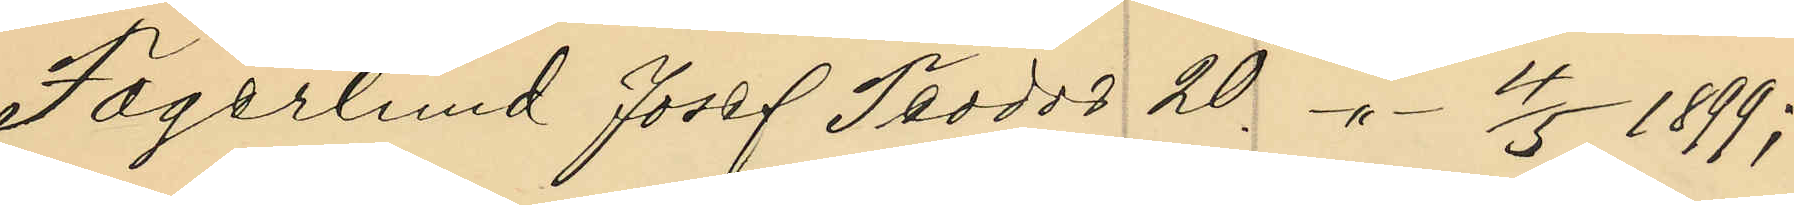Fagerlund Josef Teodor 20. -"- 4/5 1899;
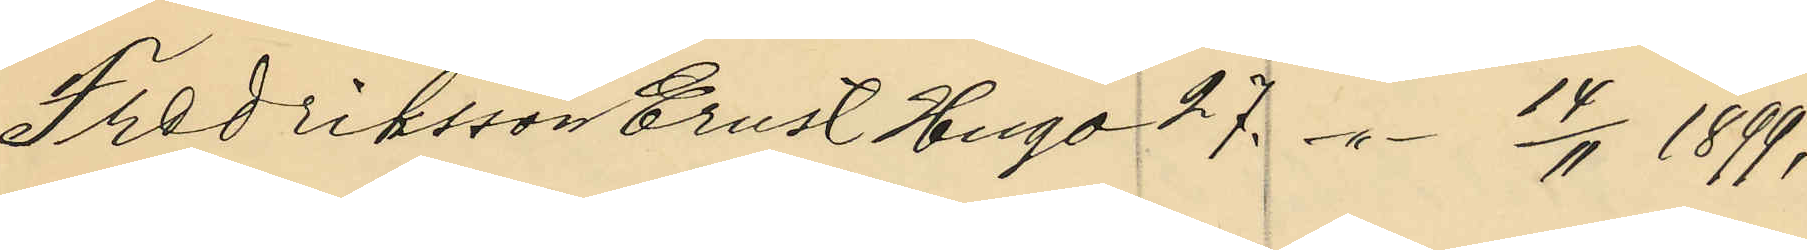Fredriksson Ernst Hugo 27. -"- 14/4 1899;
